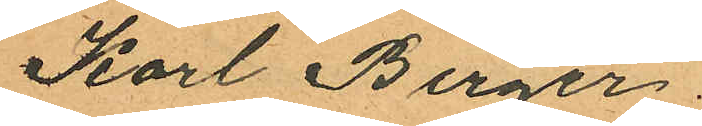Karl Birger.
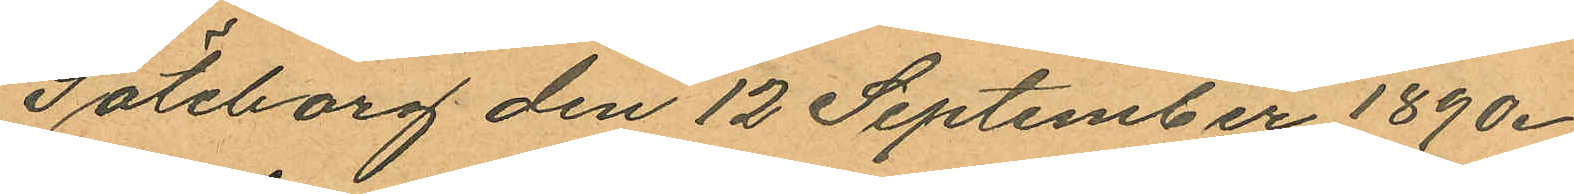Göteborg den 12 September 1890.
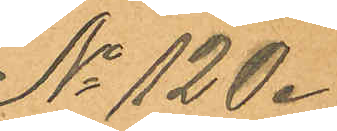No 120.
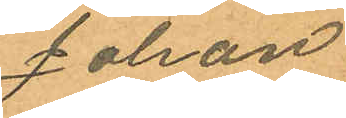Johan
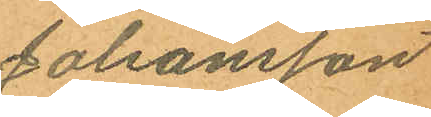Johansson
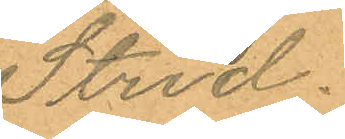Strid.
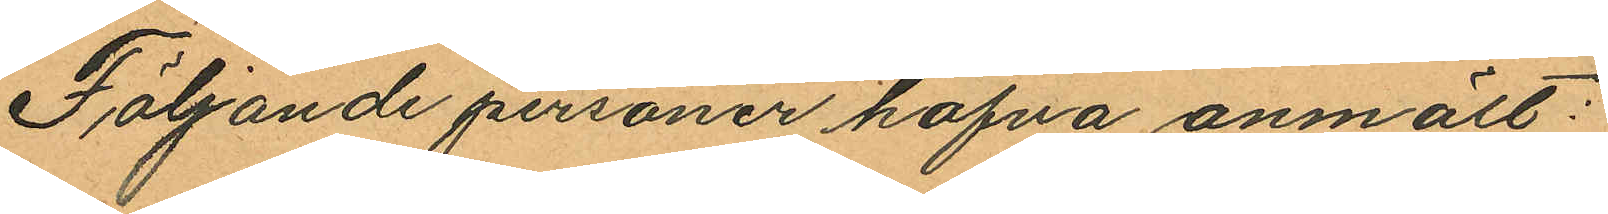Följande personer hafva anmält:
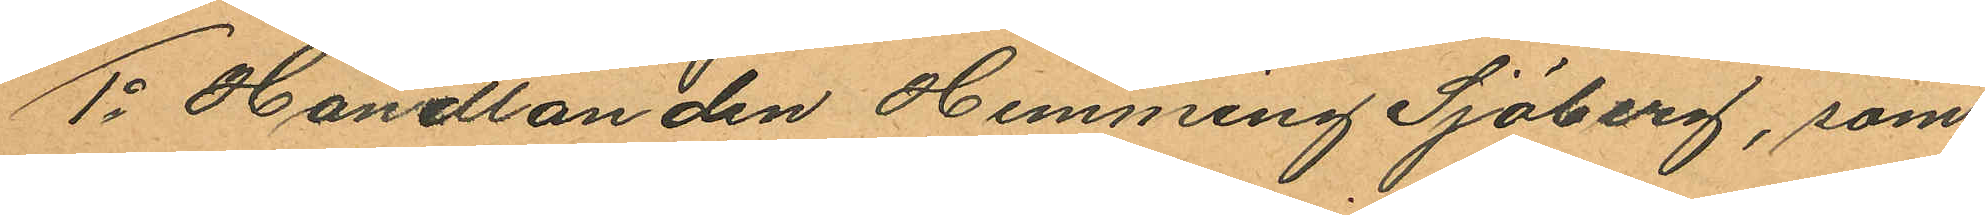1o Handlanden Henning Sjöberg, som
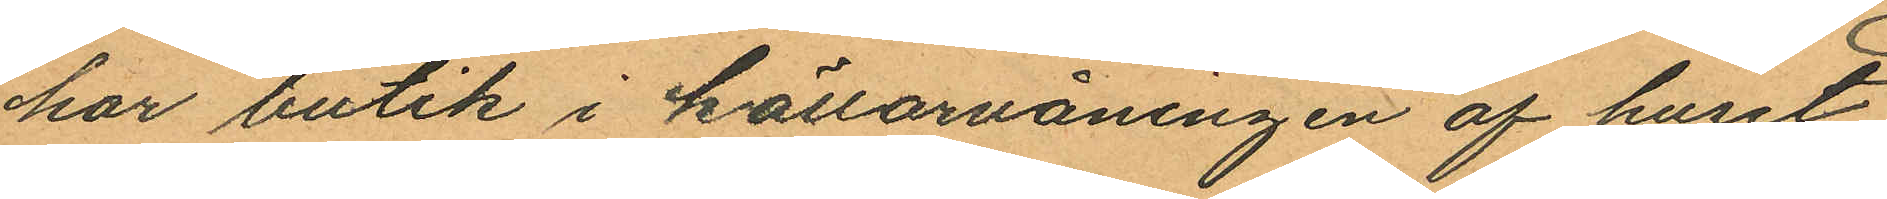har butik i källarvåningen af huset
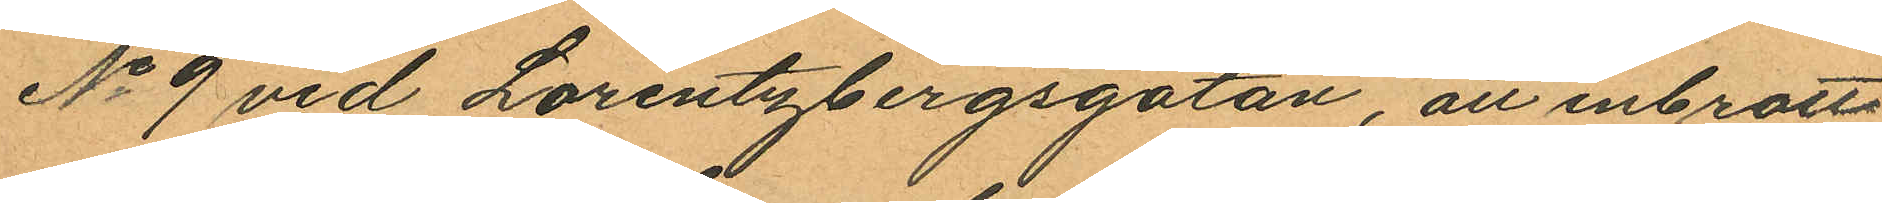No 9 vid Lorentzbergsgatan, att inbrott
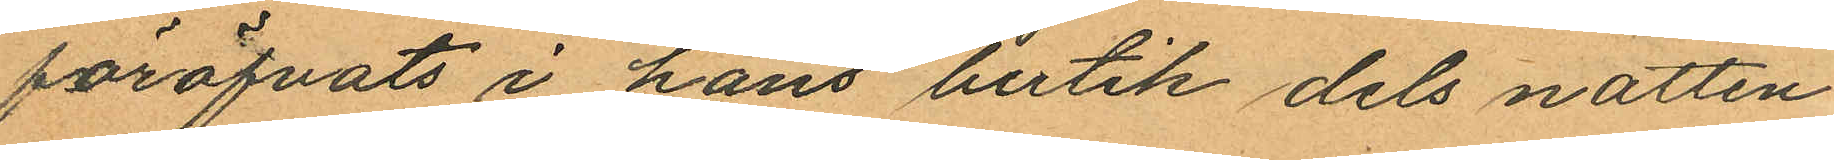föröfvats i hans butik dels natten
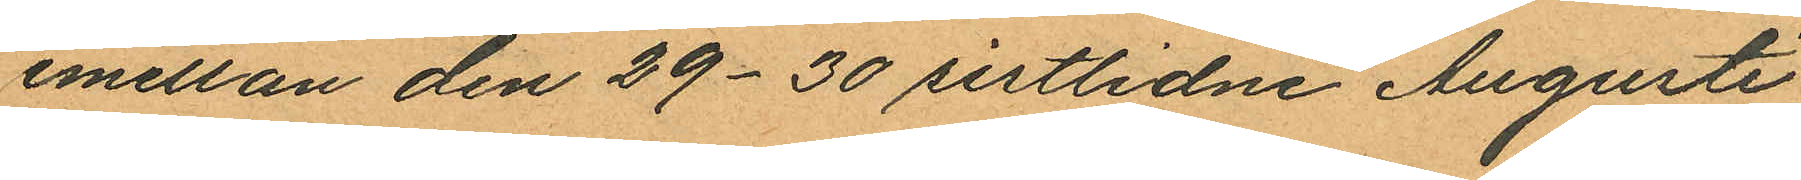emellan den 29-30 sistlidne Augusti
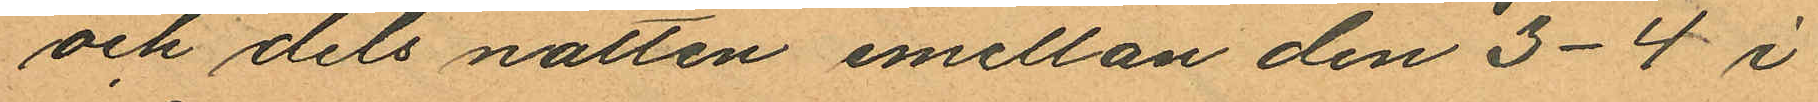och dels natten emellan den 3-4 i
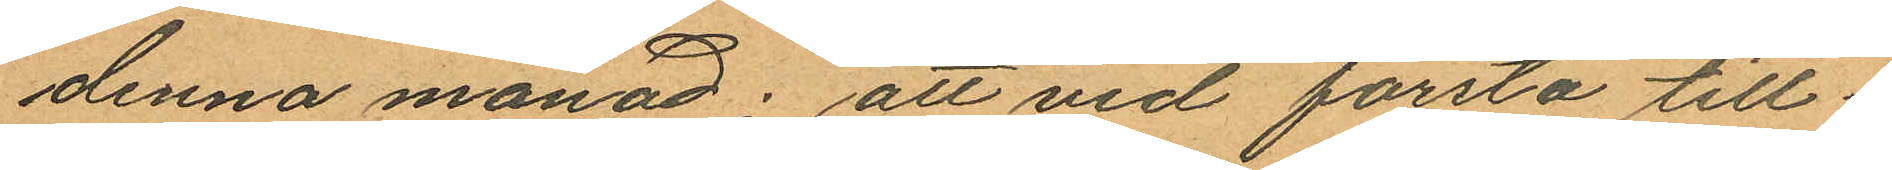denna månad; att vid första till¬
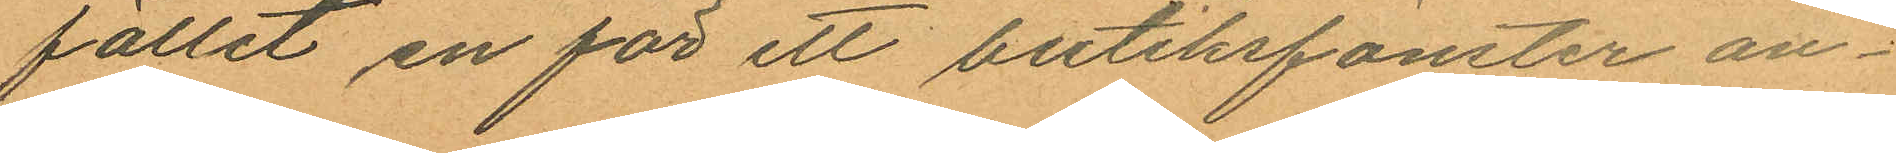fället en för ett butiksfönster an¬
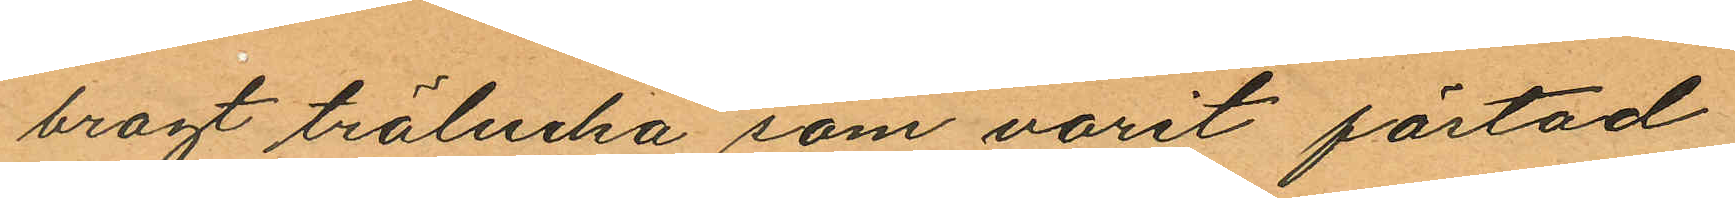bragt trälucka som varit fästad
